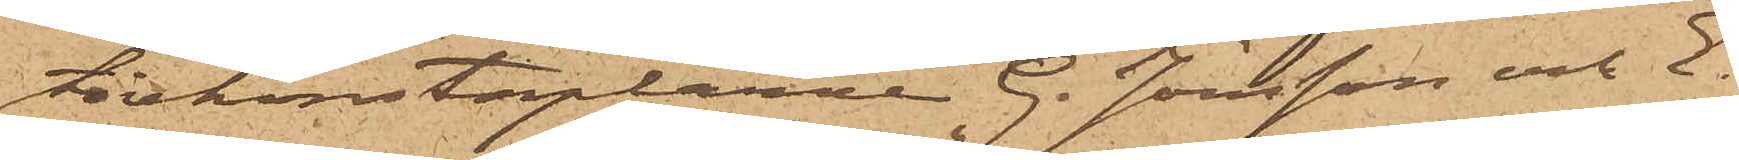tivkonstaplarne G. Jönsson och E.
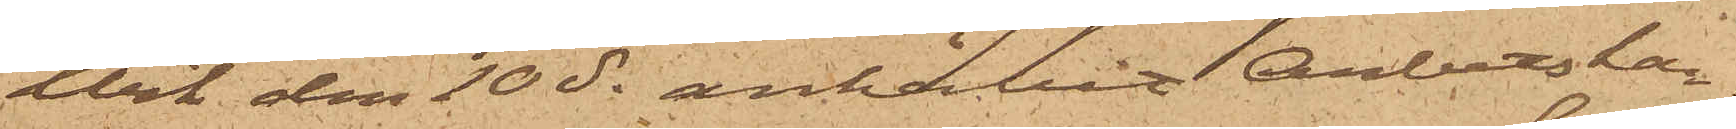Wik den 10 ds anhållit Arbetskar¬
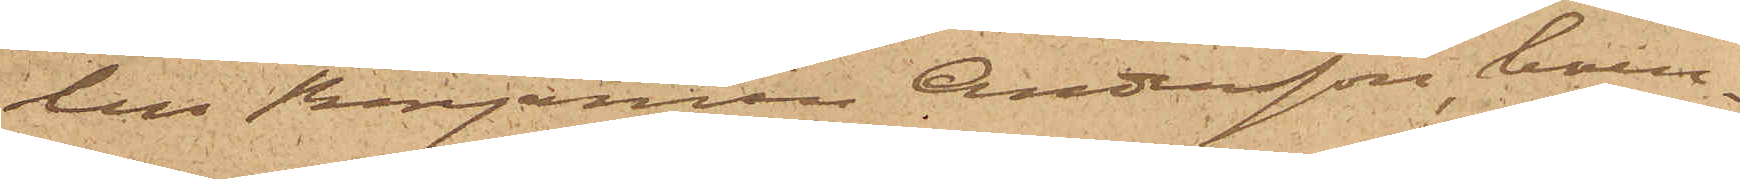len Benjamin Andersson, boen¬
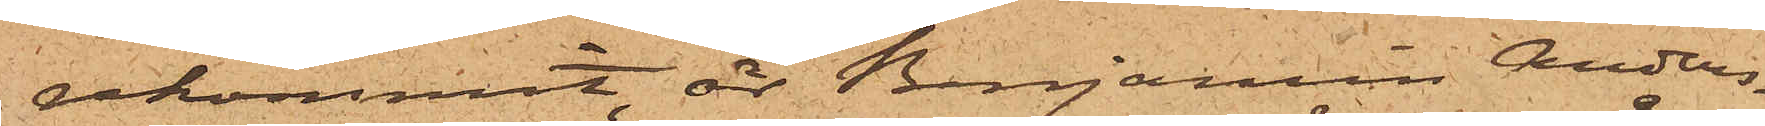rekommit, är Benjamin Anders¬
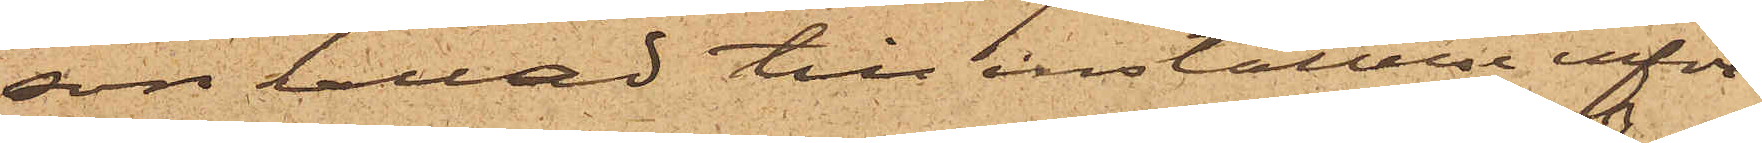son kallad till inställelse inför
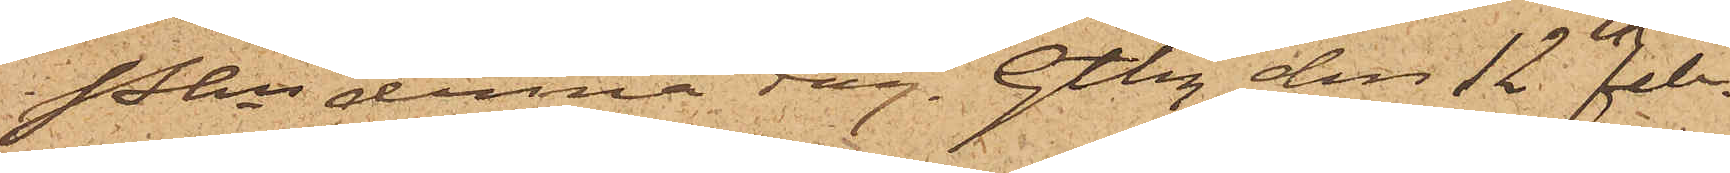Pkn denna dag. Gtbg den 12 Febr.
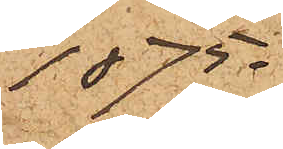1875.
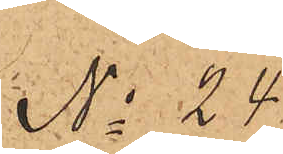No 24
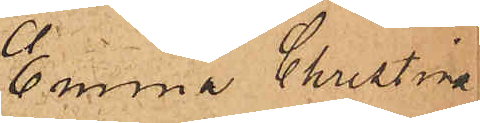Emma Christina
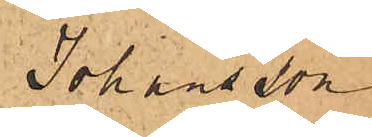Johansson
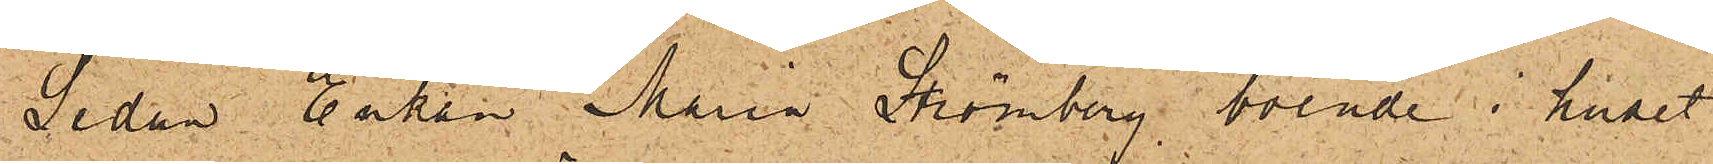Sedan Enkan Maria Strömberg, boende i huset
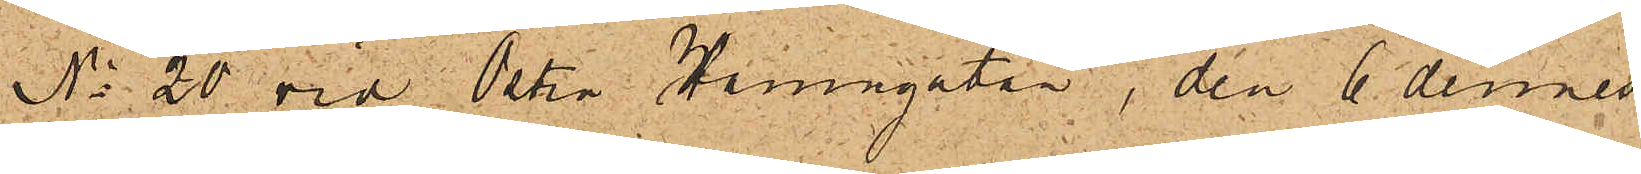No 20 vid Östra Hamngatan, den 6 dennes
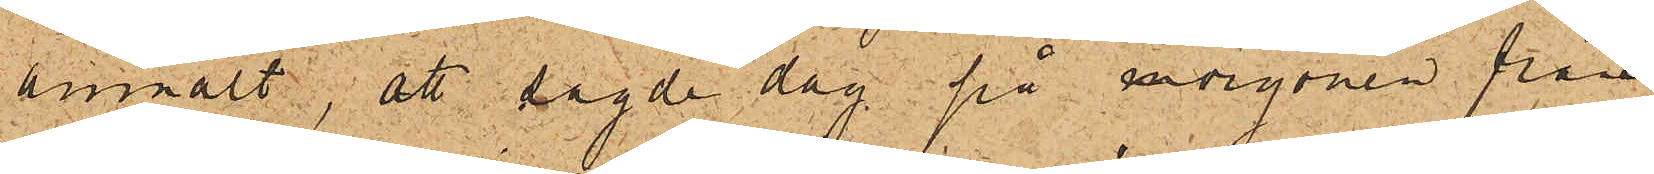anmält, att sagde dag på morgonen från
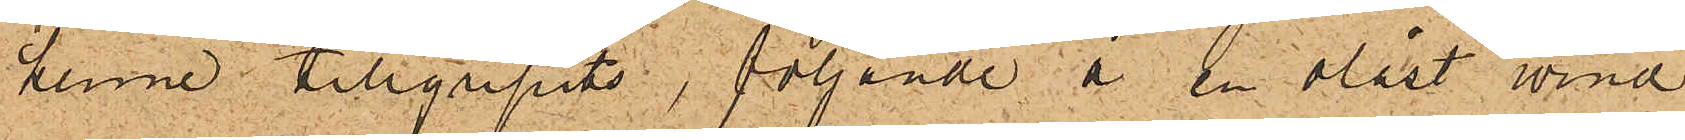henne tillgripits, följande å en olåst vind
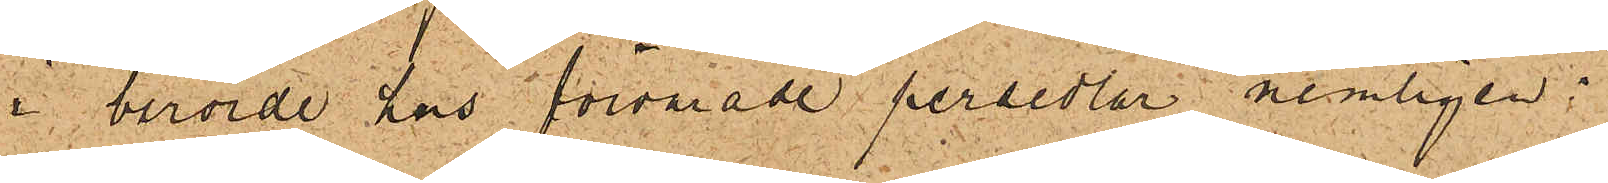i berörde hus förvarade persedlar, nemligen:
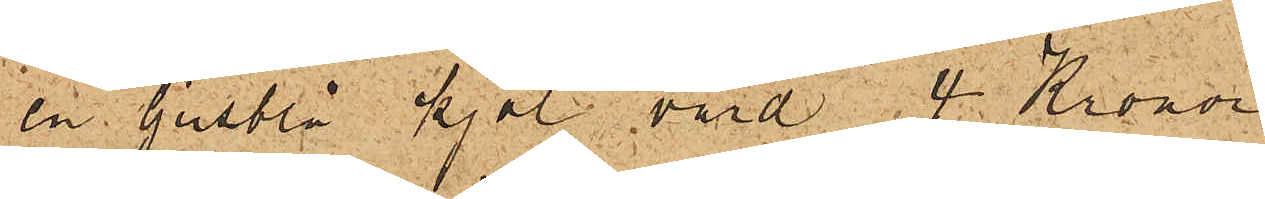en ljusblå kjol värd 4 Kronor
